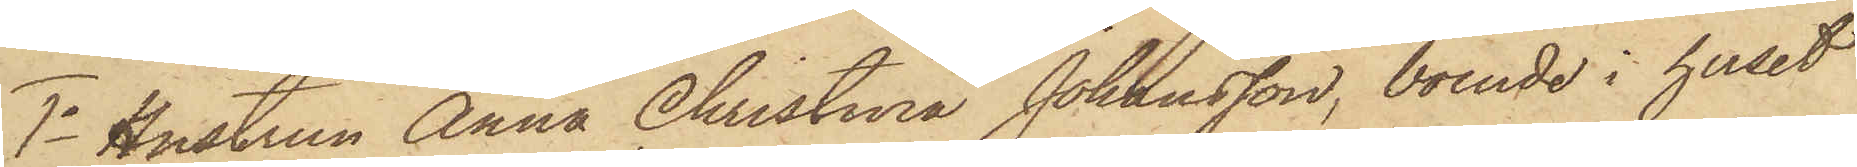1o Hustrun Anna Christina Johansson, boende i huset
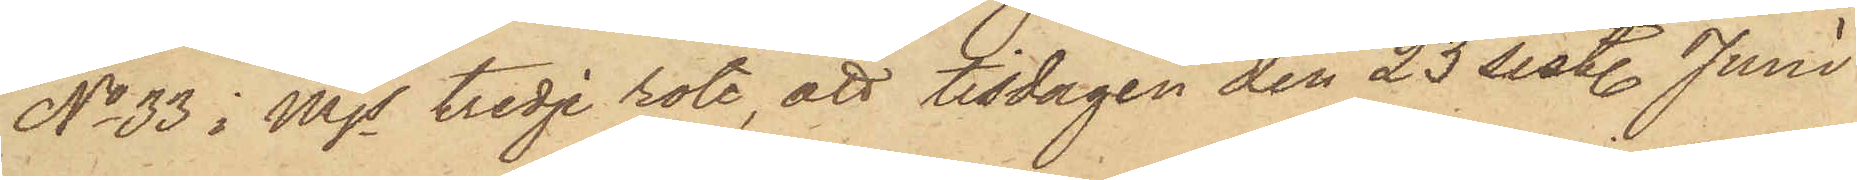No 33 i Mjs tredje rote, att tisdagen den 23 sist. Juni
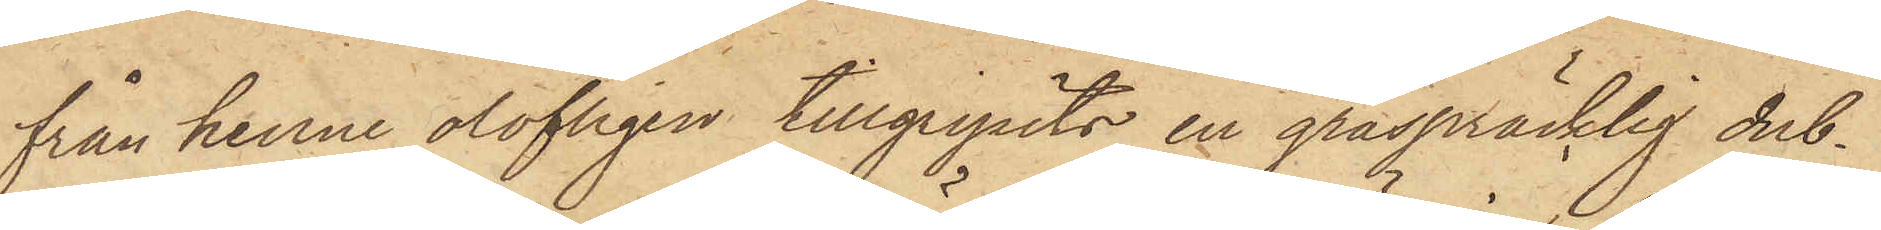från henne olofligen tillgripits en gråspräcklig dub¬
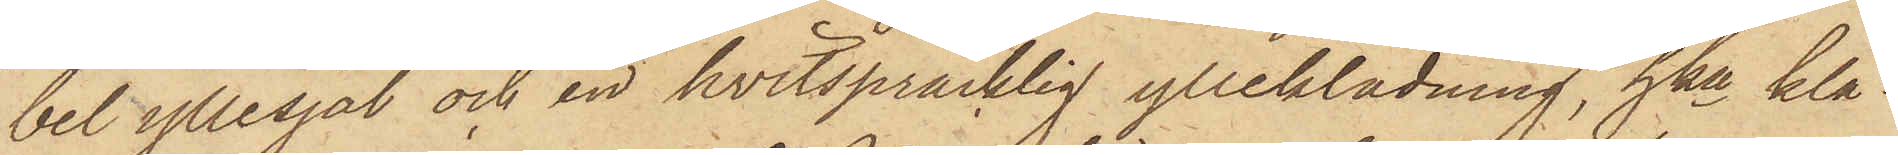bel yllesjal och en hvitspräcklig ylleklädning, hka klä¬
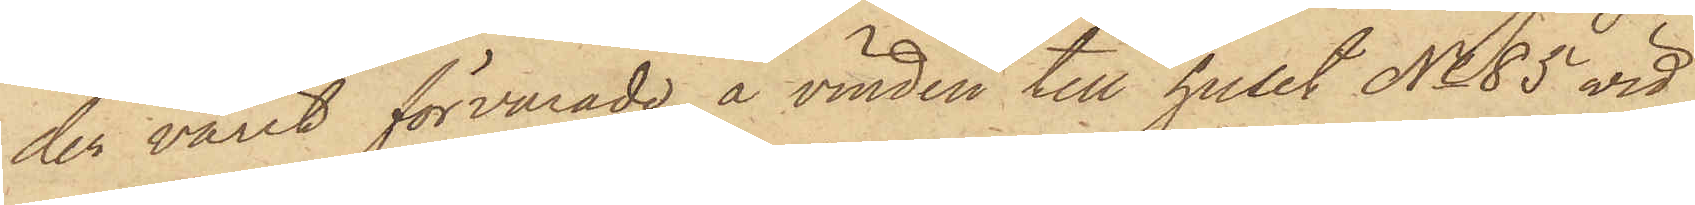der varit förvarade å vinden till huset No 85 vid
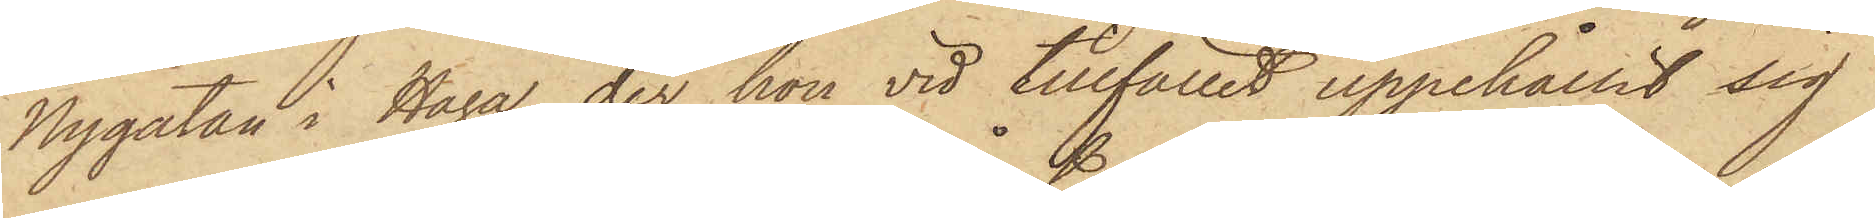Nygatan i Haga, der hon vid tillfället uppehållit sig
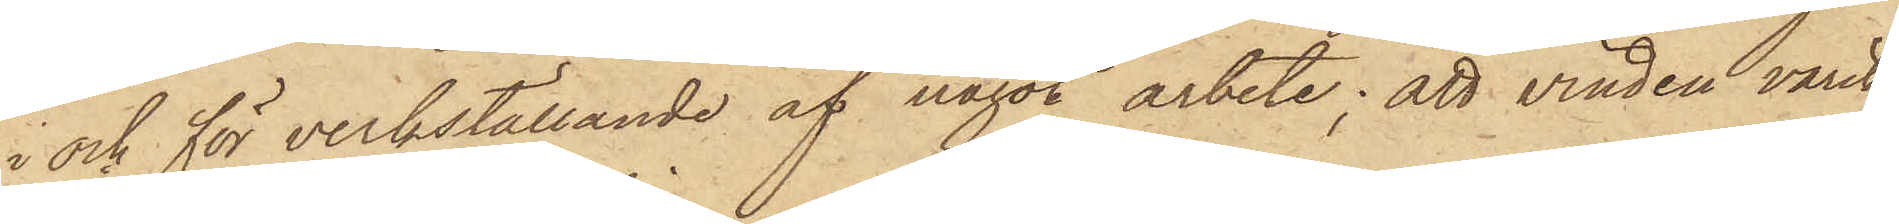i och för verkställande af något arbete; att vinden varit
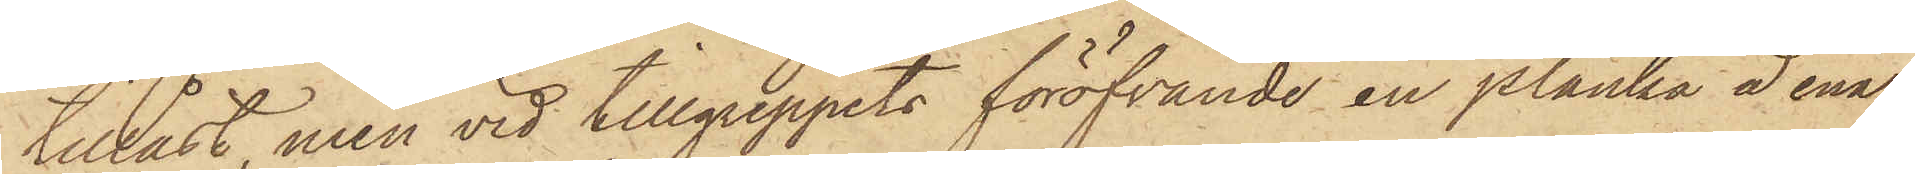tillåst, men vid tillgreppets föröfvande en planka å ena
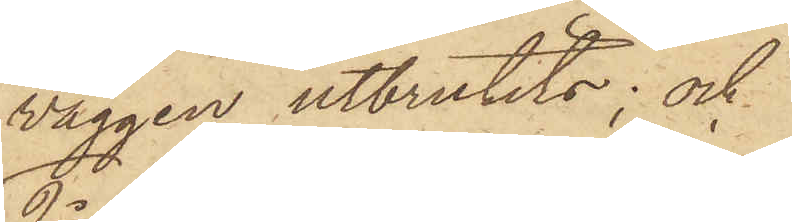väggen utbrutits; och
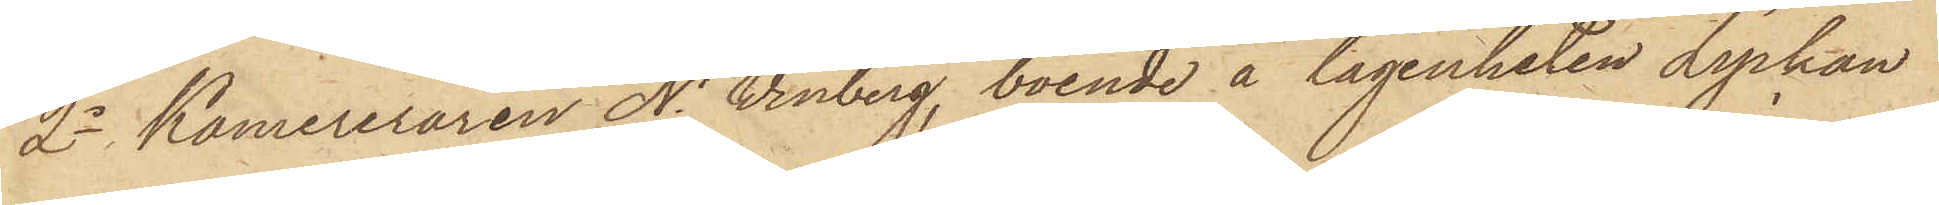2o Kamereraren N. Winberg, boende å lägenheten Lyckan
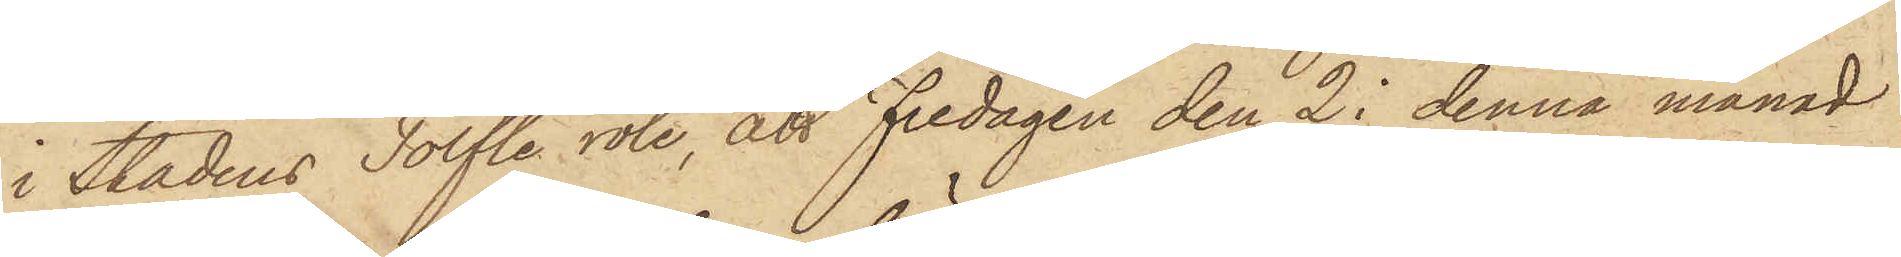i Stadens Tolfte rote, att Fredagen den 2 i denna månad
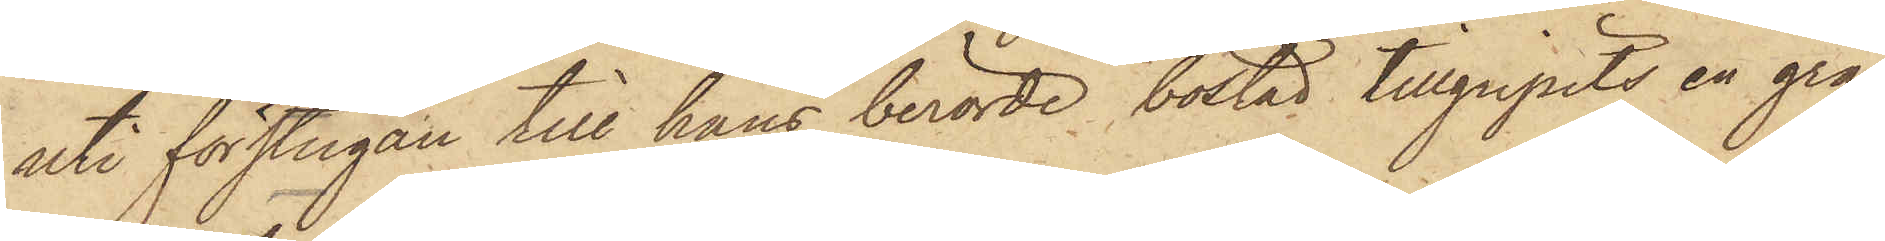uti förstugan till hans berörde bostad tillgripits en grå
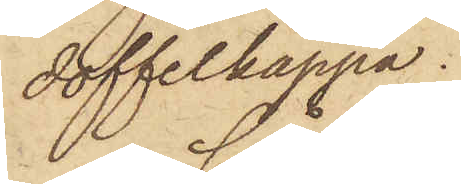doffelkappa.
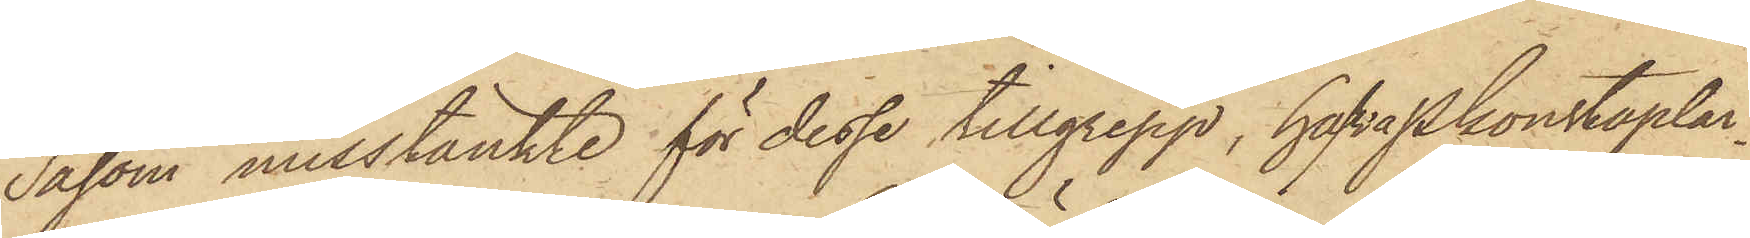Såsom misstänkte för desse tillgrepp, hafva Pkonstaplar¬
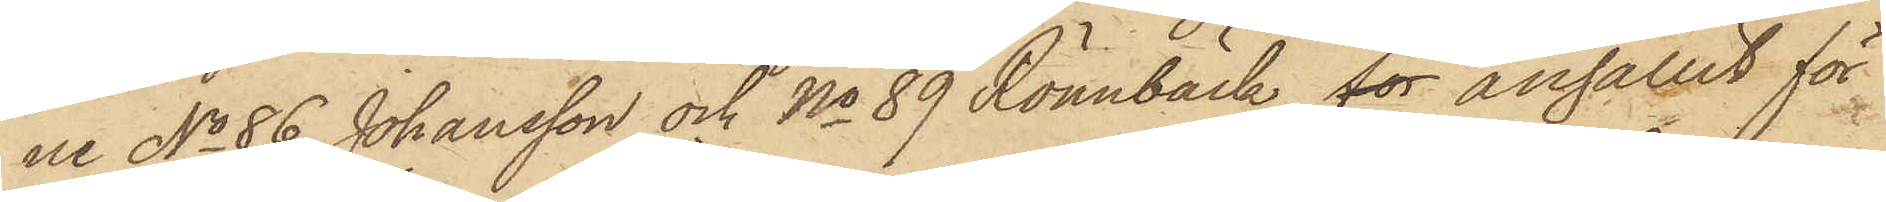ne No 86 Johansson och No 89 Rönnbäck för anhållit för
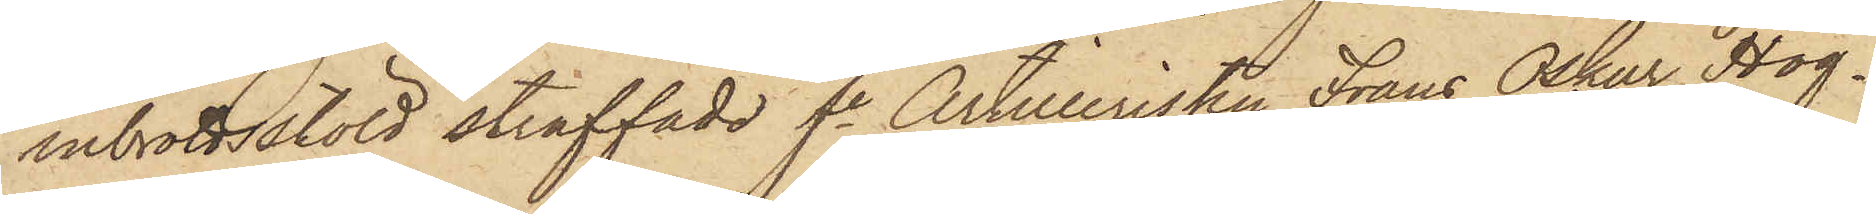inbrottsstöld straffade fe Artilleristen Frans Oskar Hog¬
